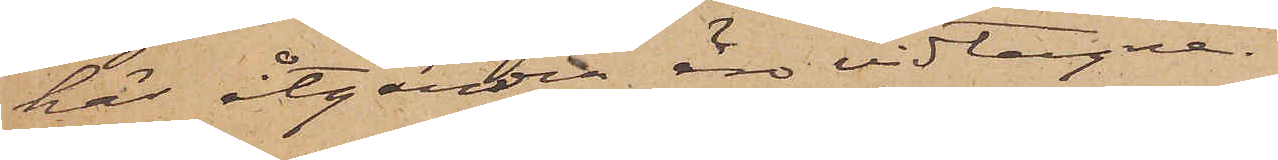här åtgärder äro vidtagne.
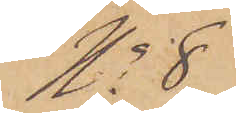No 8
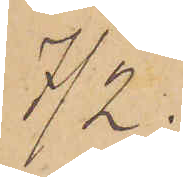7/2.
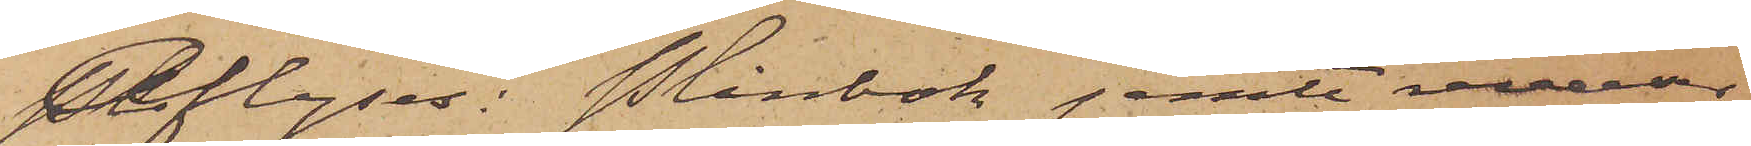Aflyses: Plånbok jemte reverser
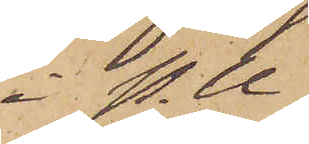i P. U.
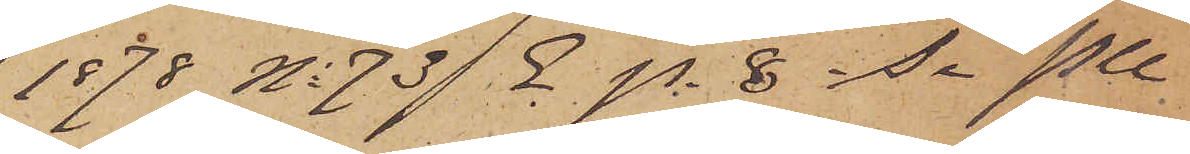1878 No 73 E p. 8 i Se PU
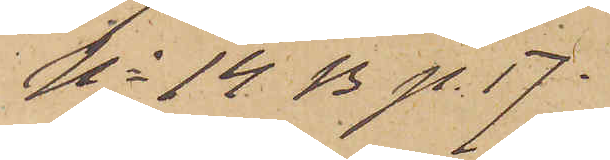No 14 B p. 17.
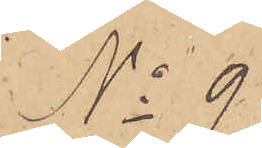No 9.
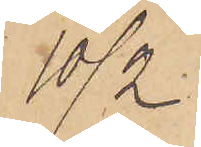10/2.
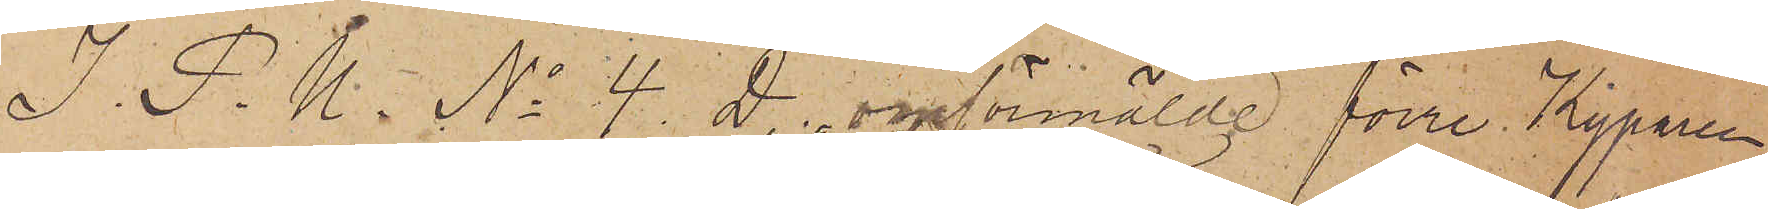I. P. U. No 4. D. omförmälde förre Kyparen
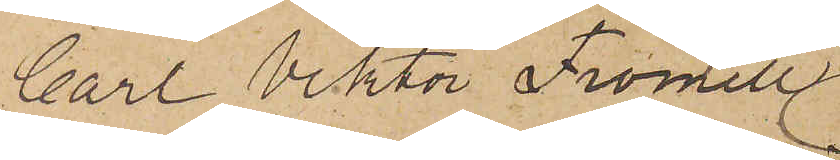Carl Viktor Fromell
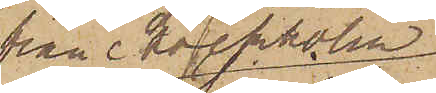från Stockholm,
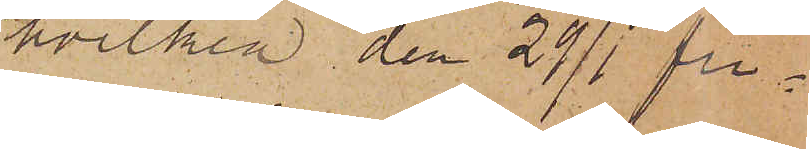hvilken den 29/1 fri¬
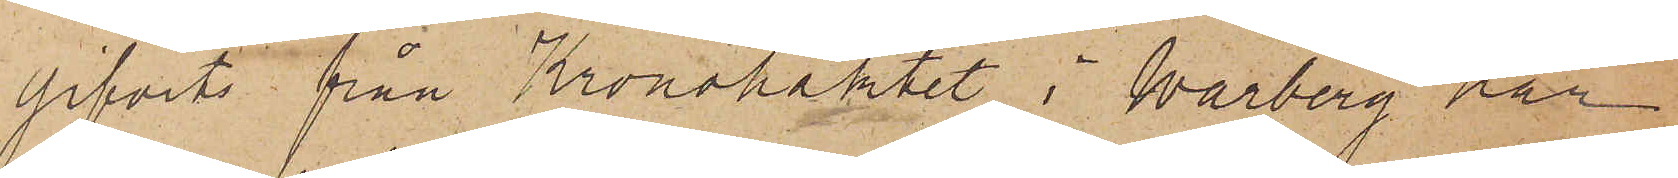gifvits från Kronohäktet i Warberg har
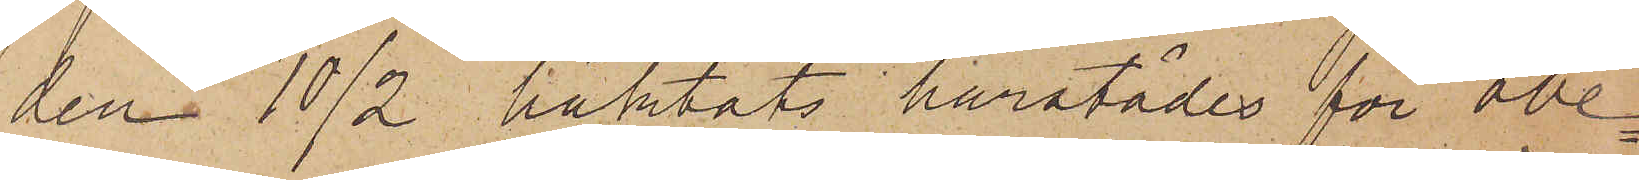den 10/2 häktats härstädes för obe¬
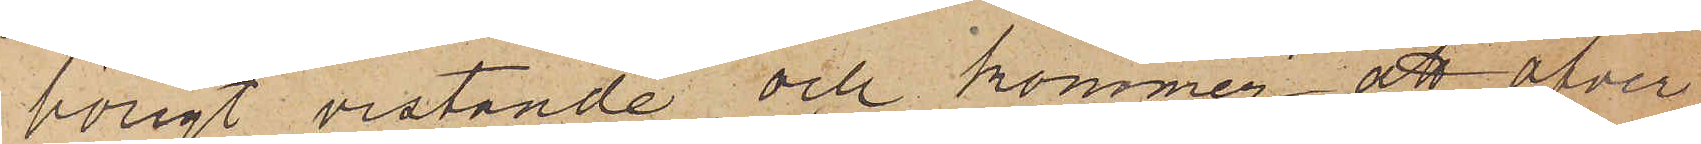hörigt vistande och kommer att öfver¬
